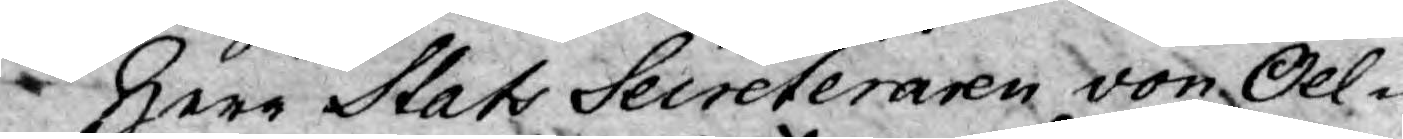Herr Stats Secreteraren von Oel¬
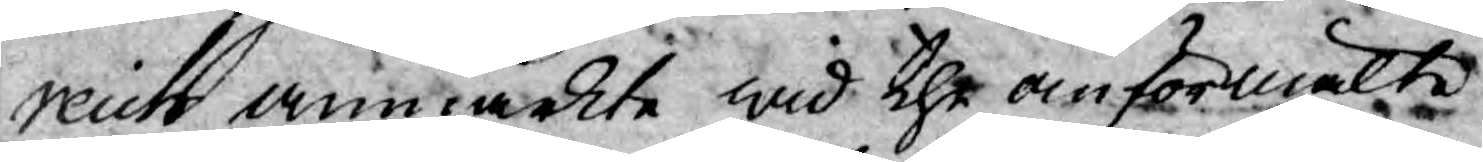reich anmärkte wid the omförmälte
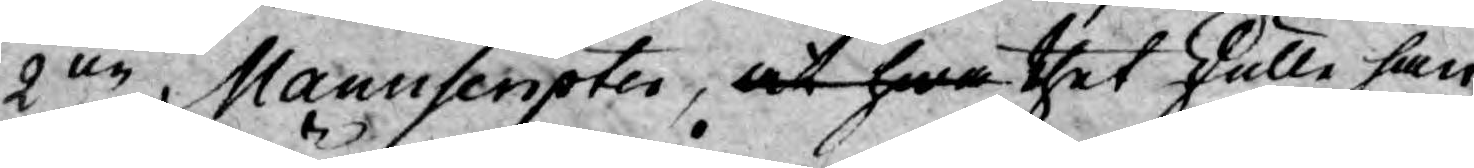2ne Manuscripter, at hwa thet skulle han
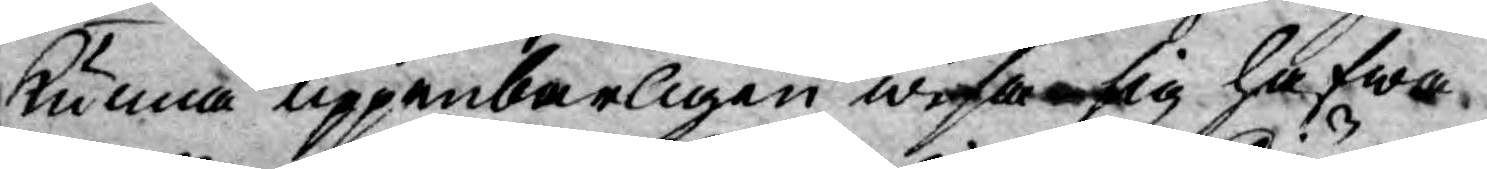kunna uppenbarligen wisa sig hafwa
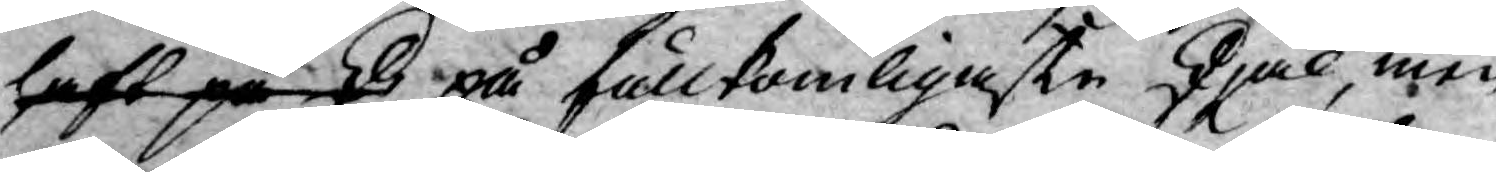haft på sk på fullkomligaste skjäl, men
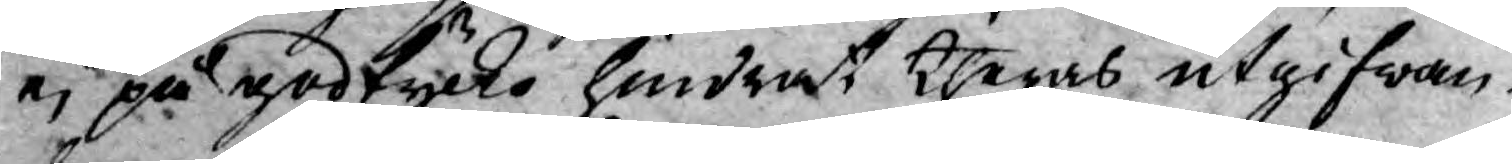ej på godtycke hindrat theras utgifwan¬
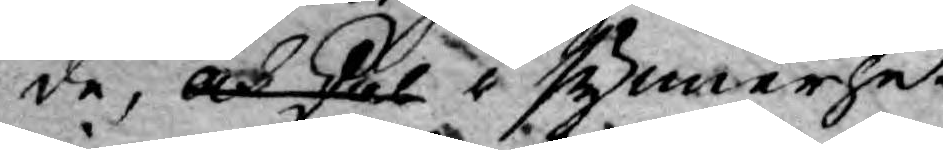de, och skal i synnerhet
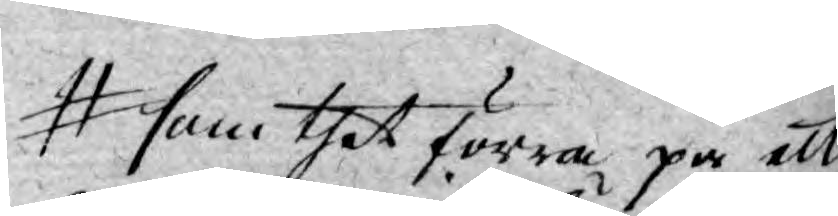som thet förra på ett
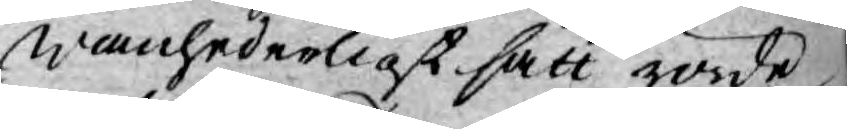wanhederligt sätt rörde
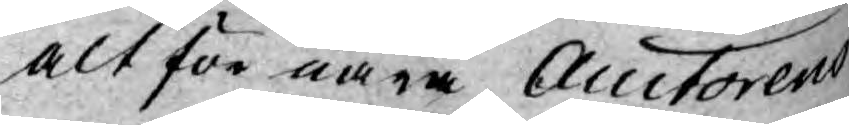alt för nära Auctorens
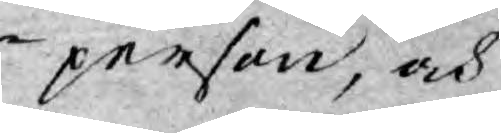person, och
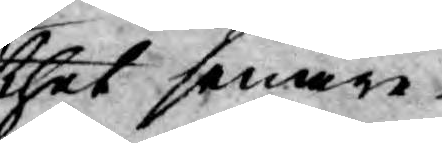thet senare
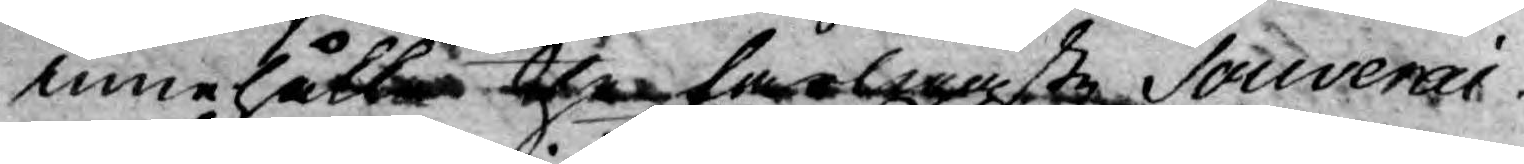innehålla the farligaste Souverai¬
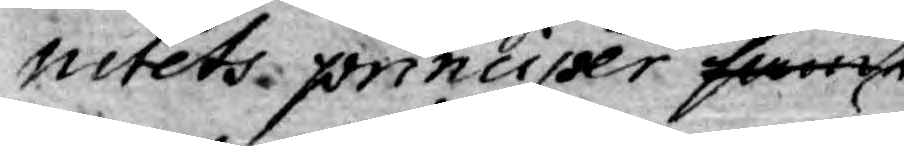nitets principer samt 
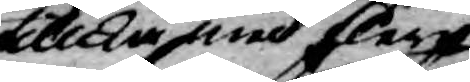tillka med flera
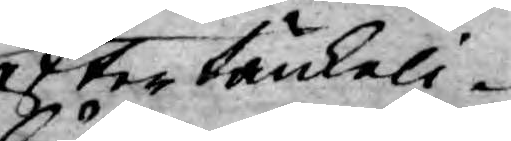eftertänkeli¬
